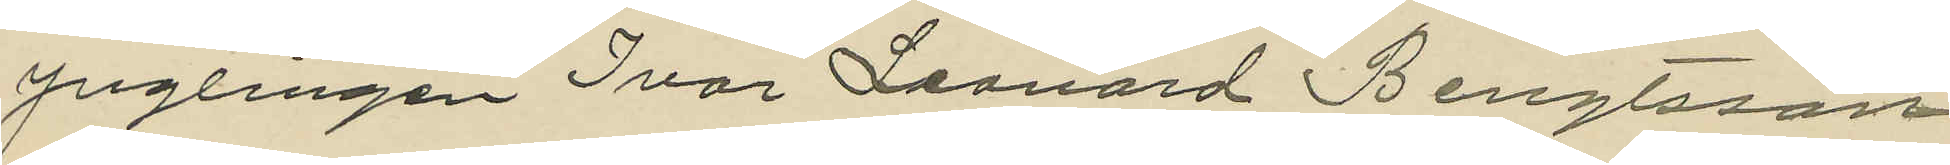ynglingen Ivar Leonard Bengtsson,
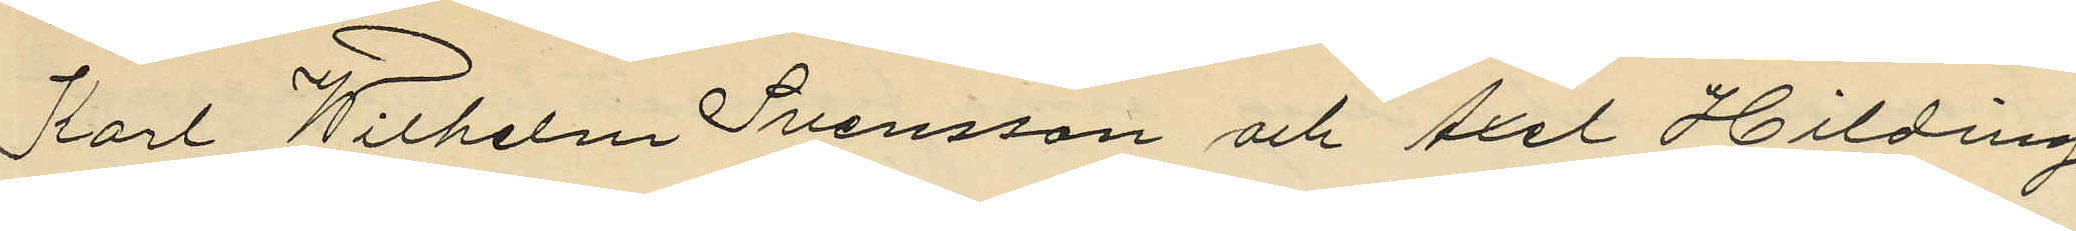Karl Wilhelm Svensson och Axel Hilding
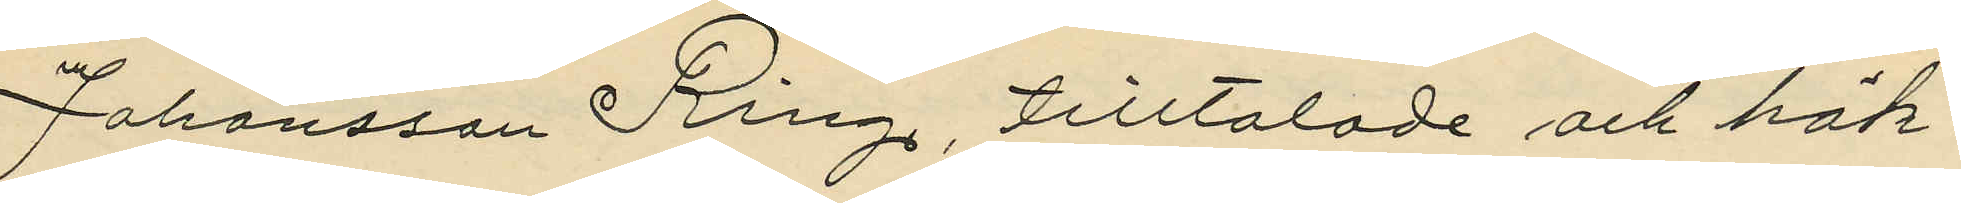Johansson Ring, tilltalade och häk¬
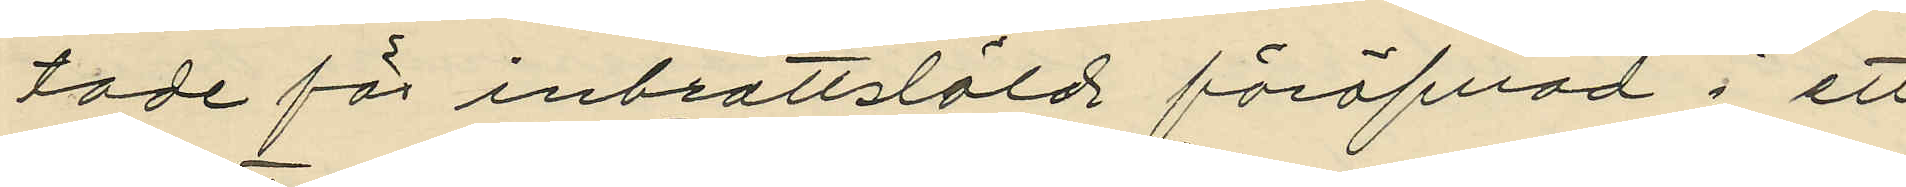tade för inbrottslöld föröfvad i ett
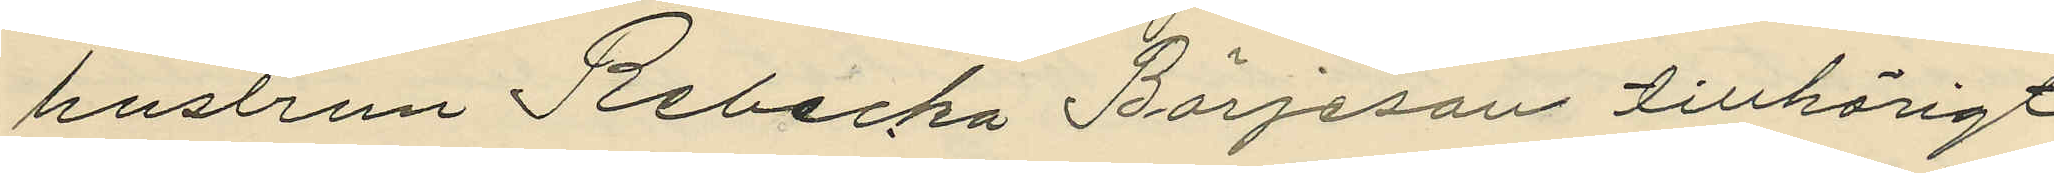hustrun Rebecka Börjeson tillhörigt
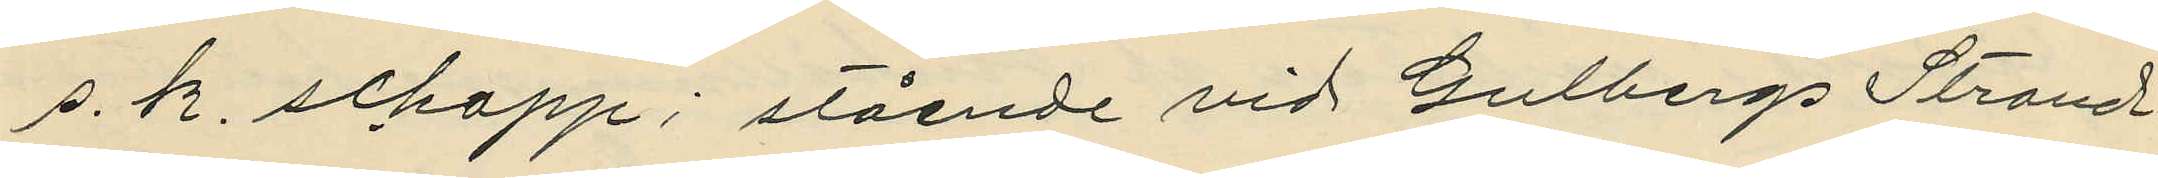s. k. schapp; stående vid Gulbergs Strand¬
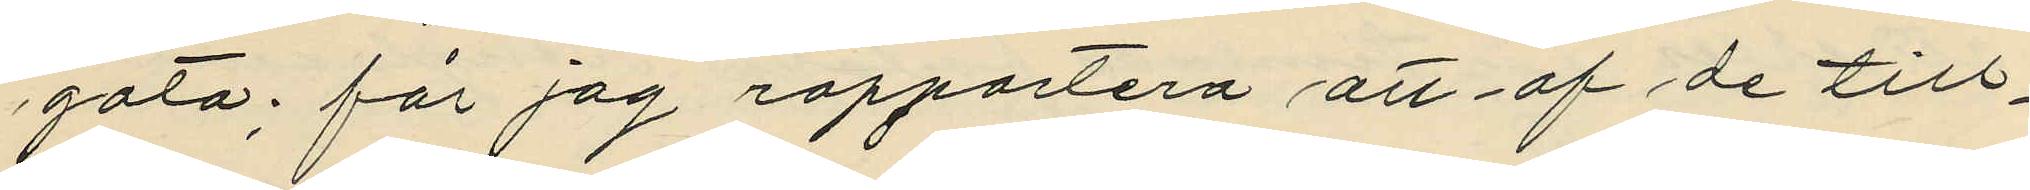gata; får jag rapportera att af de till¬
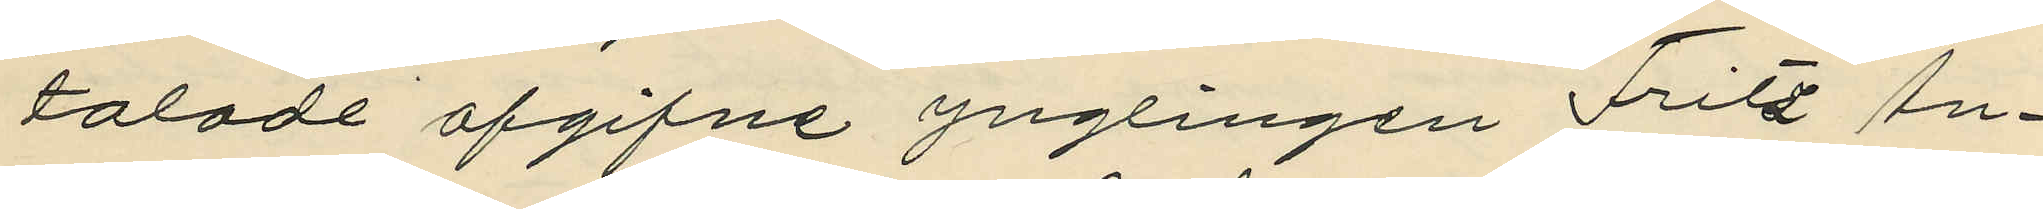talade afgifne ynglingen Fritz An¬
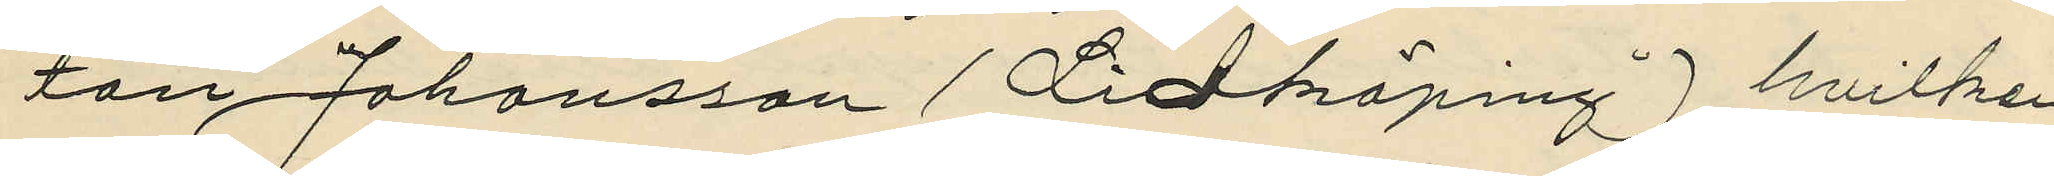ton Johansson (Lidköping), hvilken
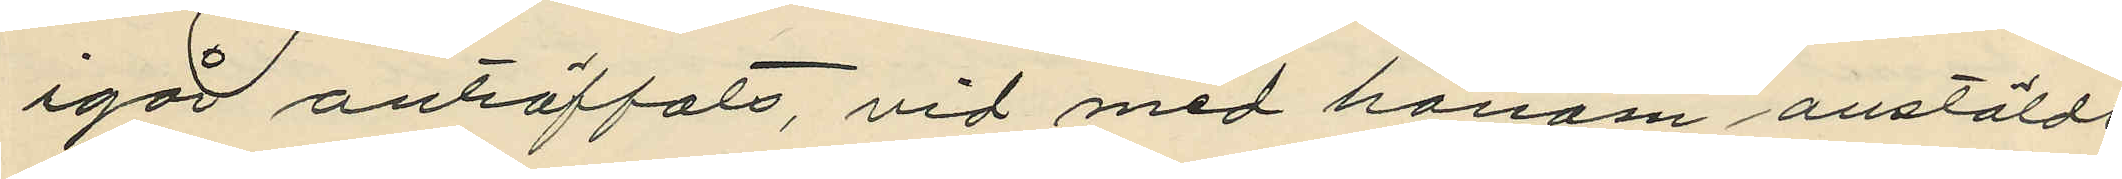igår anträffats vid med honom anstäldt
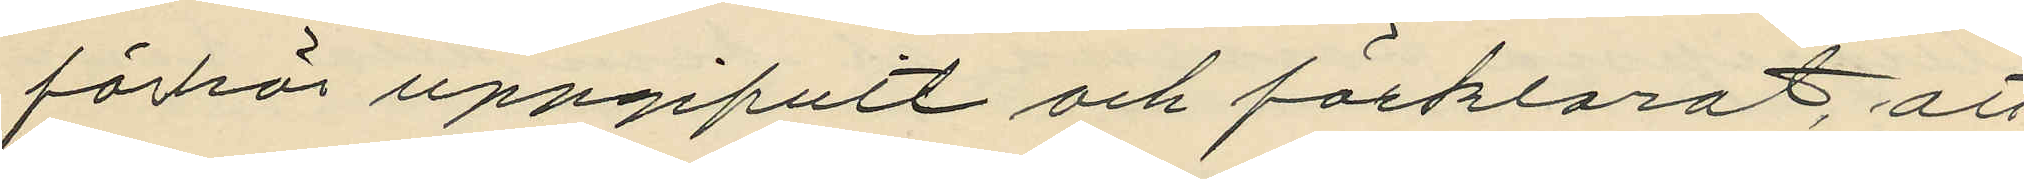förhör uppgifuit och förklarat, att
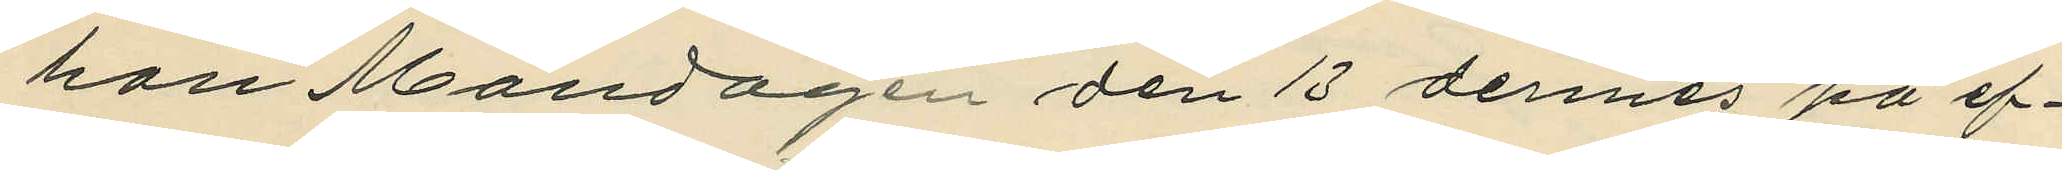han Måndagen den 13 dennes på ef¬
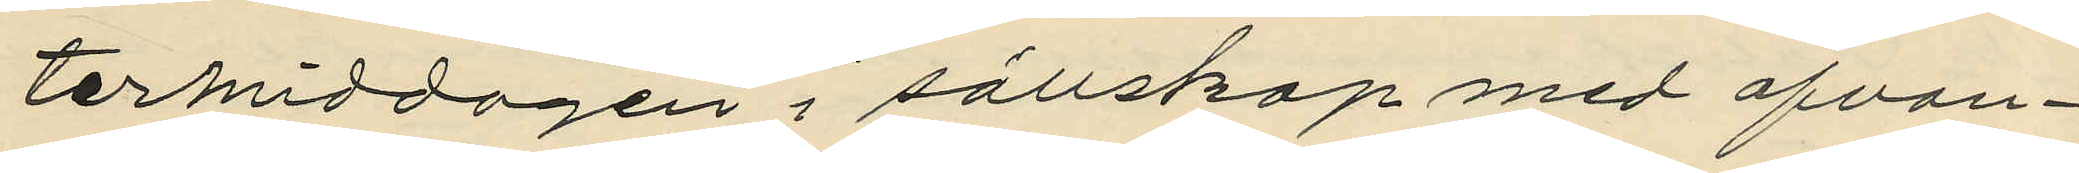termiddagen i sällskap med ofvan¬
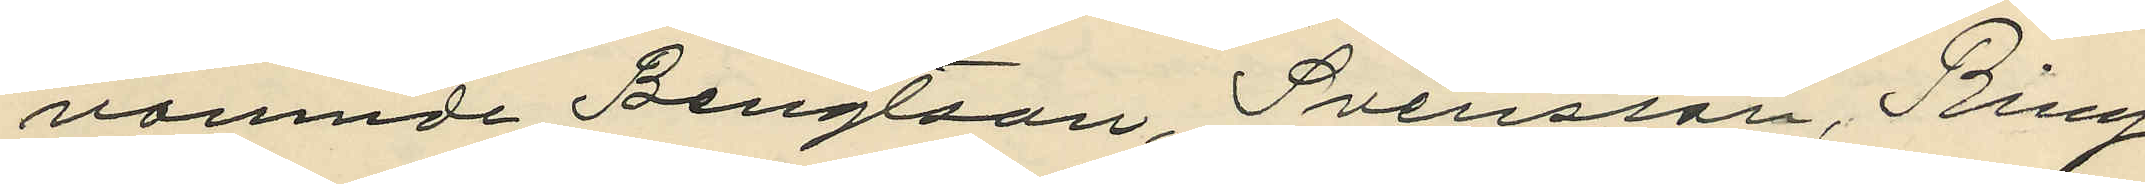namnde Bengtson, Svensson, Ring
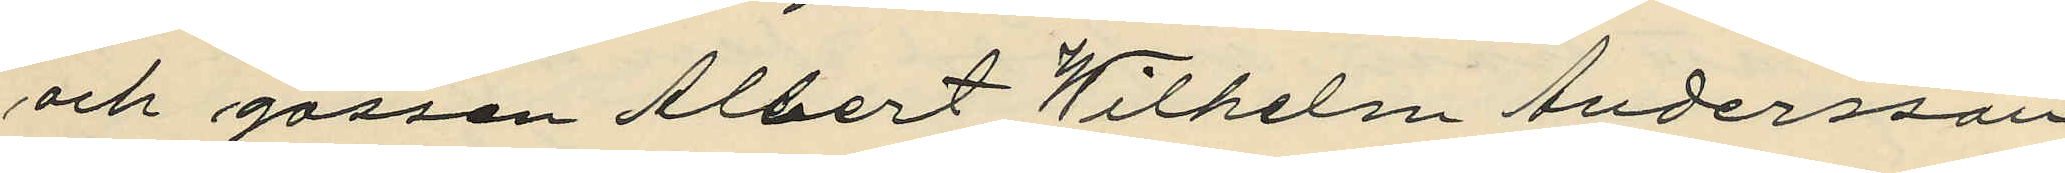och gossen Albert Wilhelm Andersson
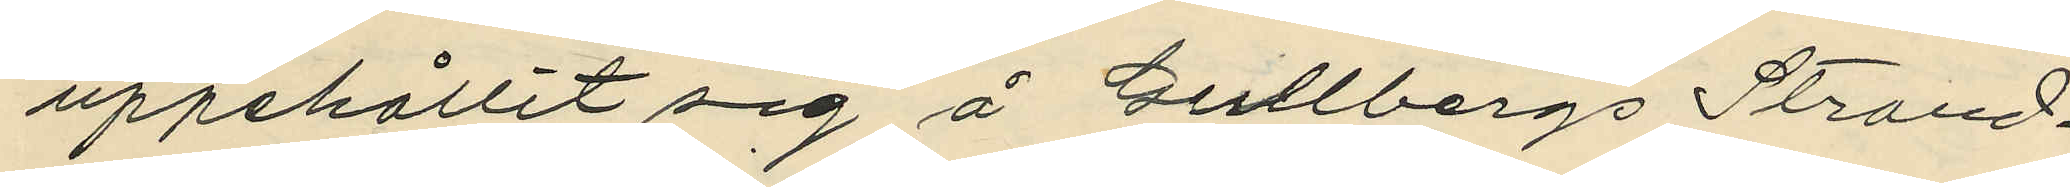uppehållit sig å Gullbergs Strand¬
